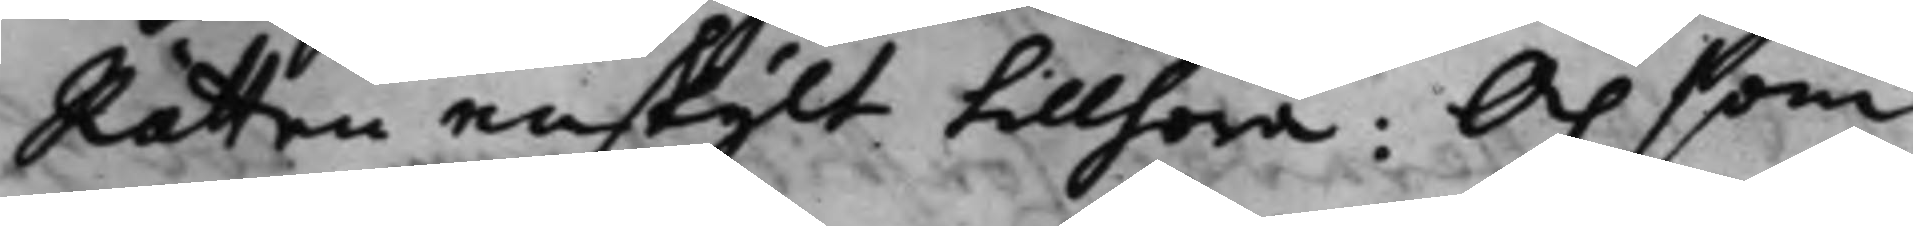Rätten enskijlt tillhöra; Och som
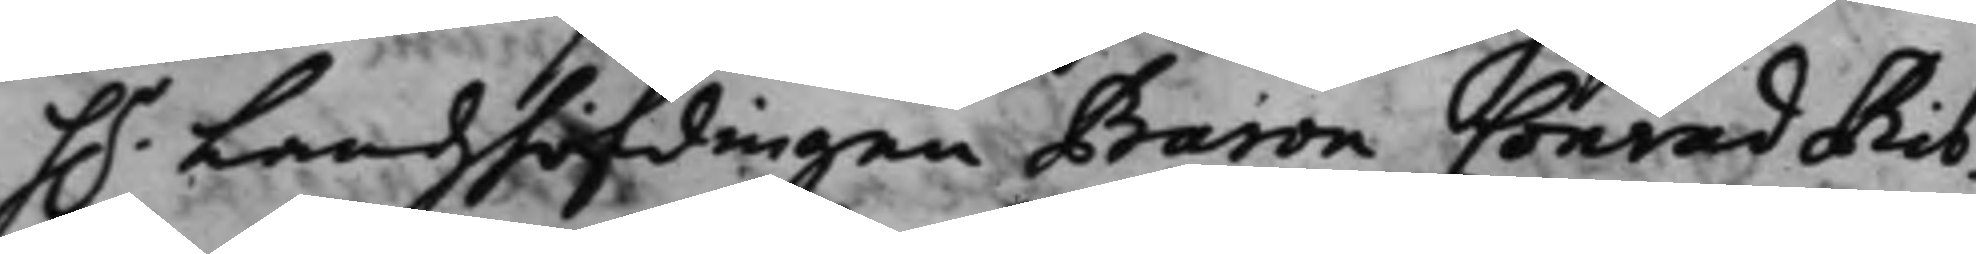h.r Landzhöfdingen Baron Conrad Rib¬
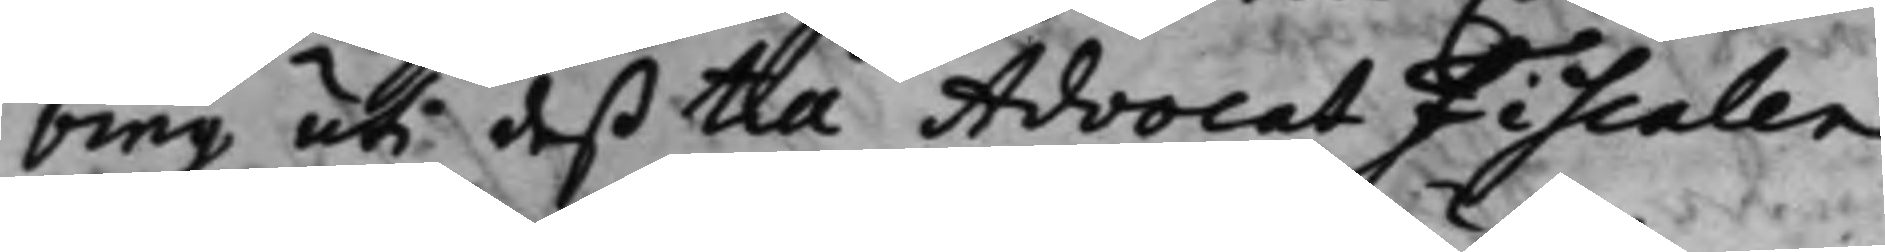bing uti deß til AdvocatFiscalen
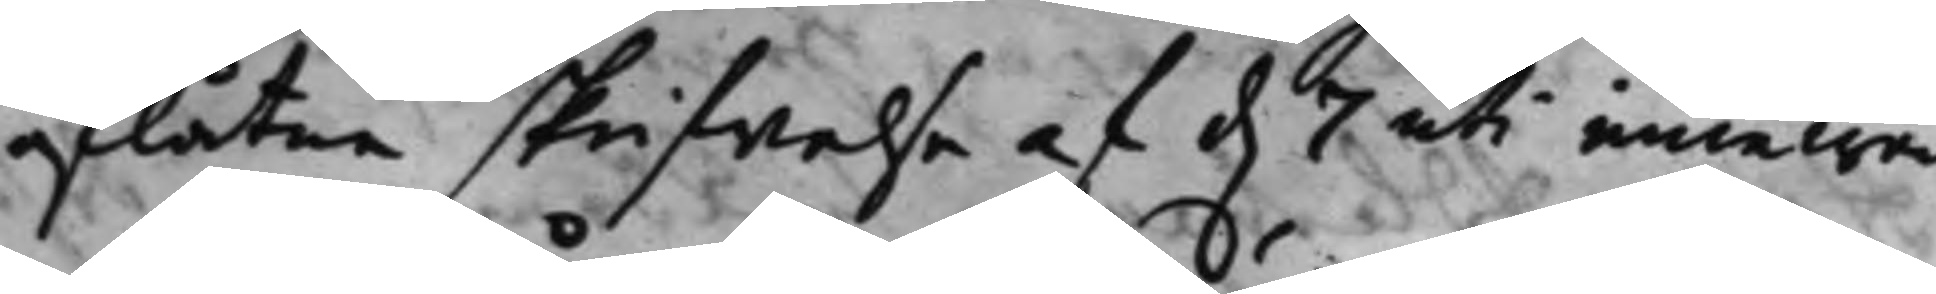aflåtne skrifwelse af d. 7 uti innewa¬
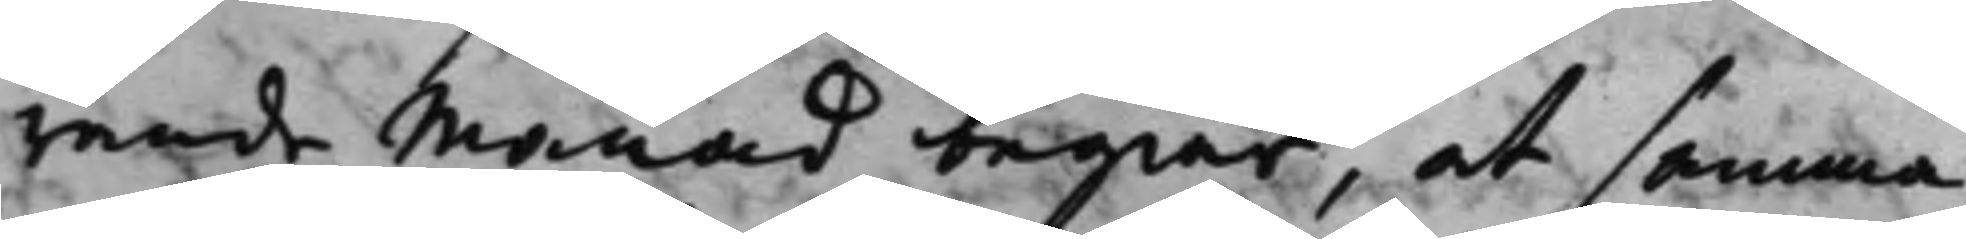rande Månad begiär, at samma
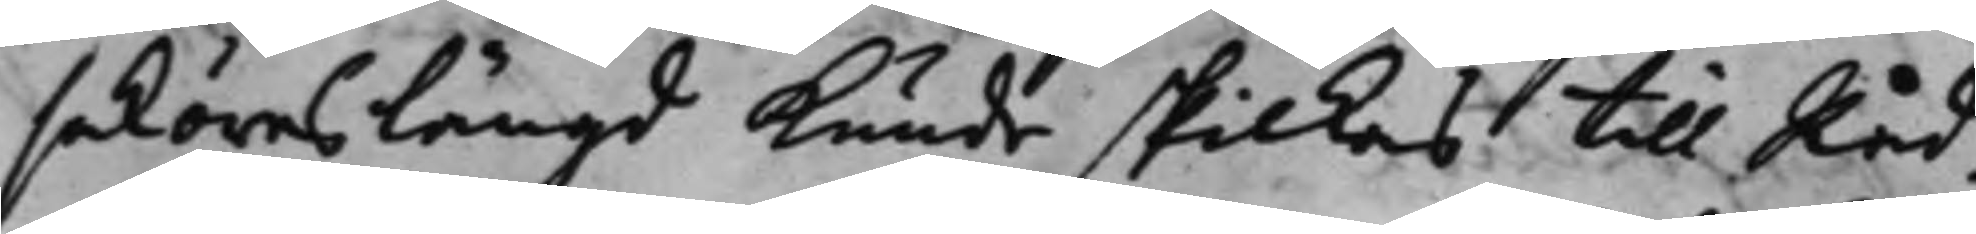saköreslängd kunde skickas till Råd¬
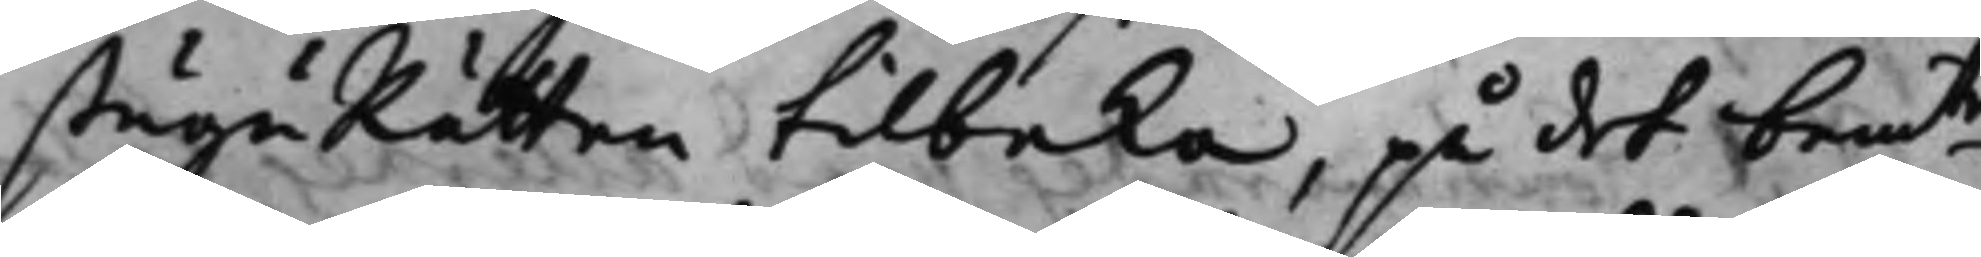stuguRätten tilbaka, på det bemte
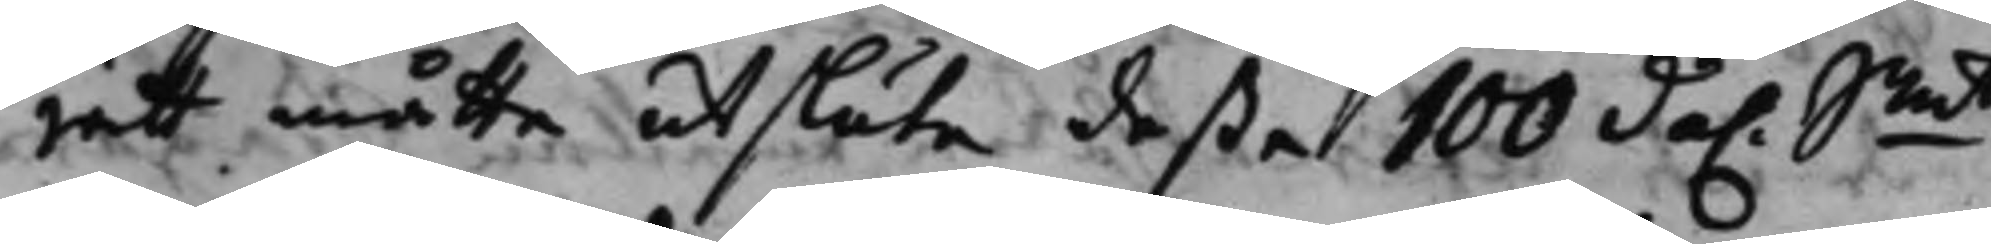rätt måtte utsluta deßa 100 da. Smt
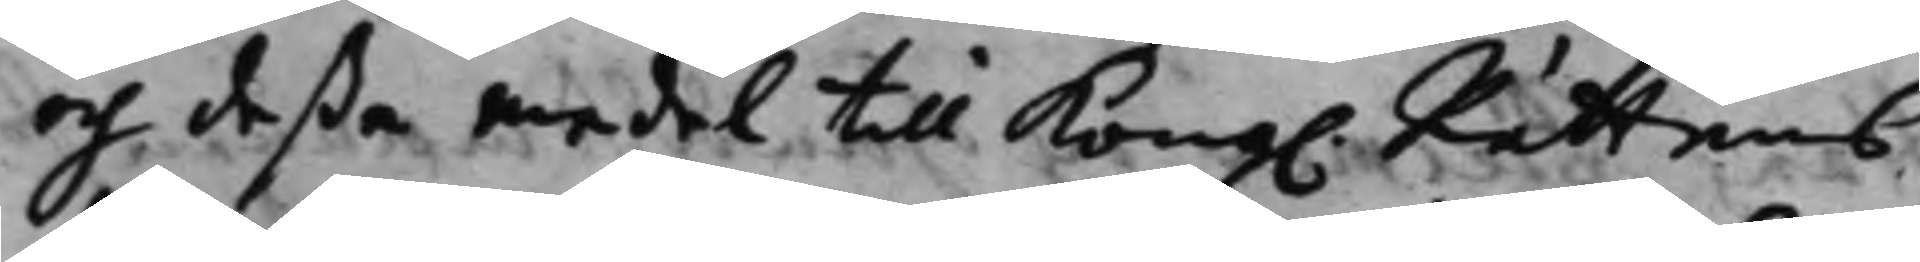och deßa medel till Kong. Rättens
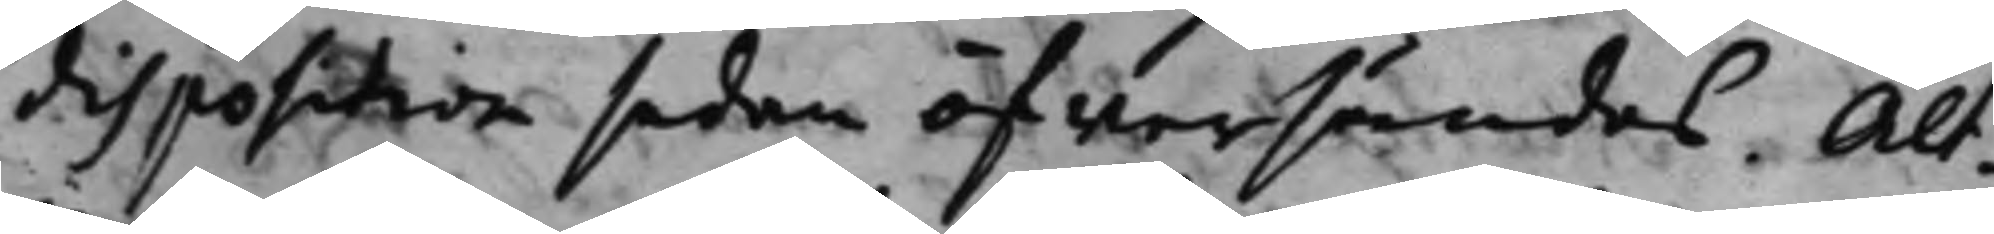disposition sedan öfwersändes. Alt¬
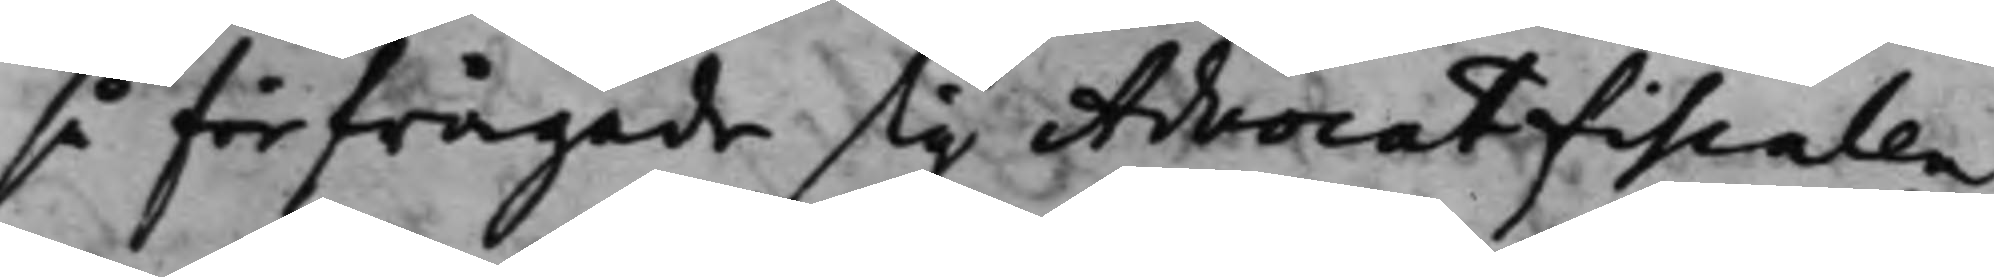så förfrågade sig AdvocatFiscalen
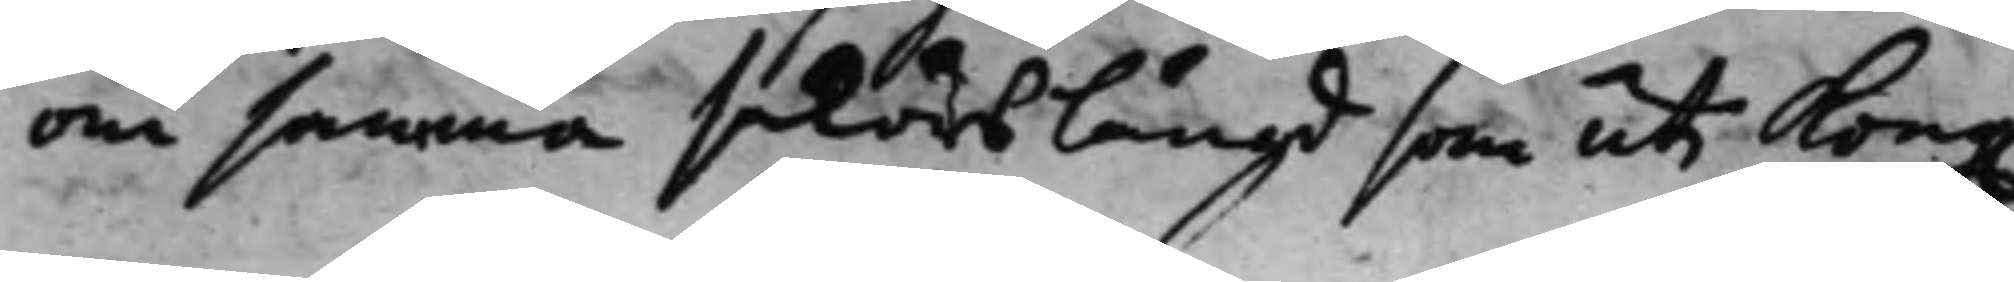om samma saköreslängd som uti Kong.
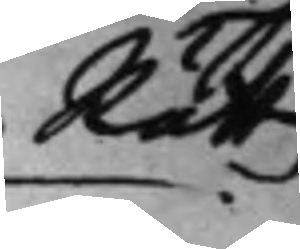Rätten
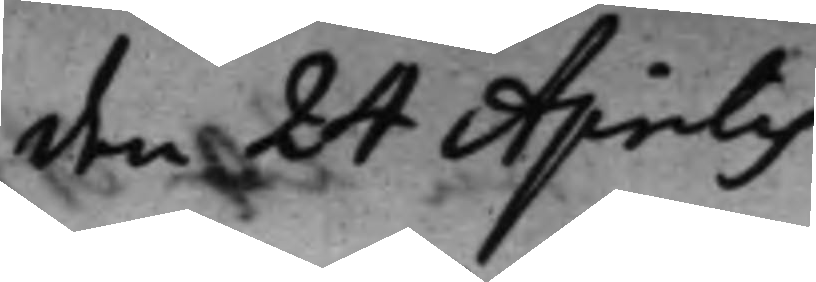den 24 Aprilis
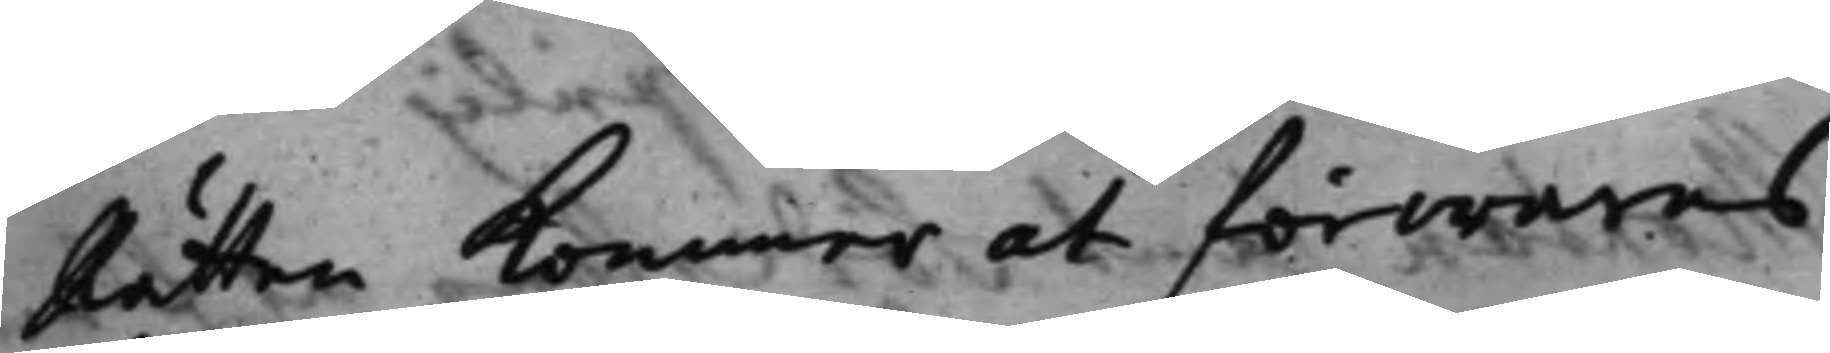Rätten kommer at förwaras
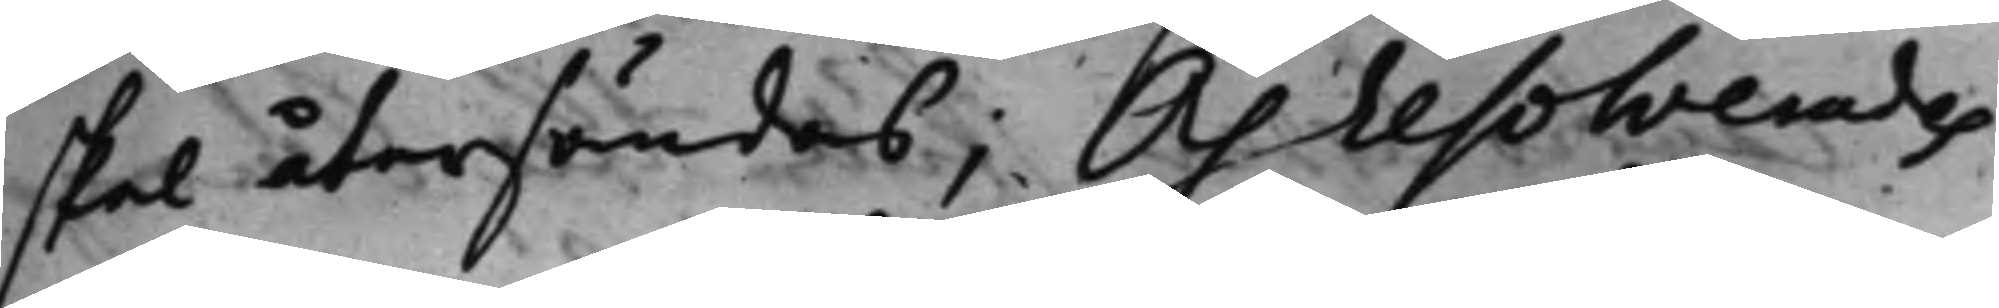skal återsändas; Och resolverades
